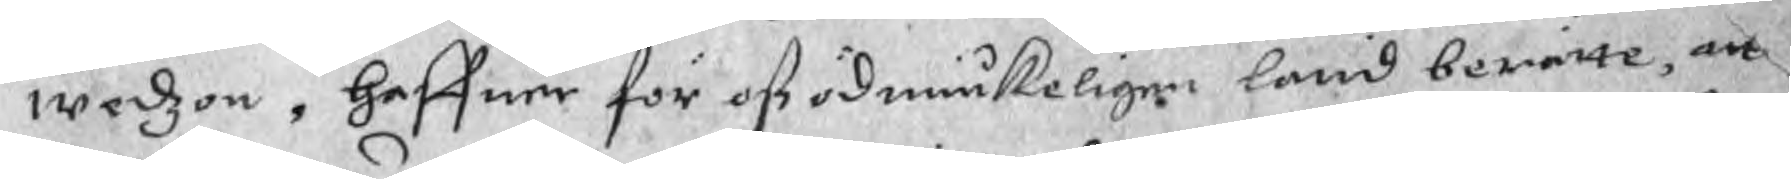wedzon, haffuer för oß ödmiukeligen latid berätte, att
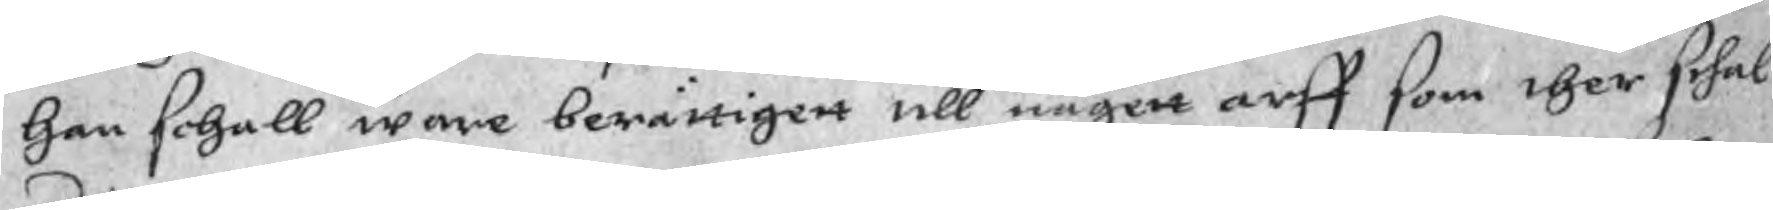han schall ware berättigett till någett arff som ther schal
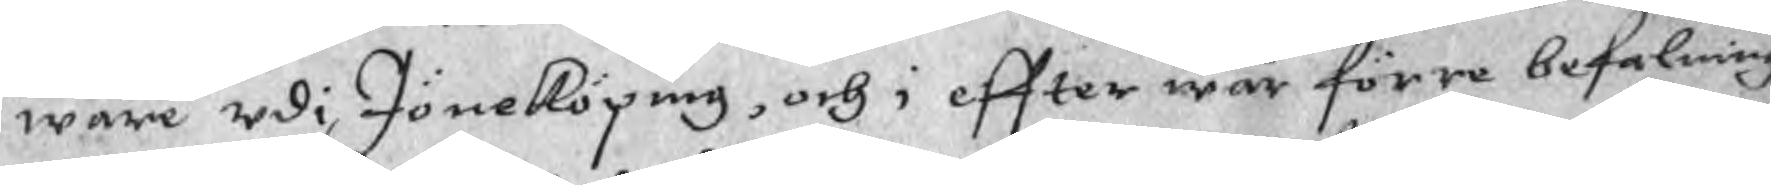ware udi Jöneköping, och i effter wår förra befalning,
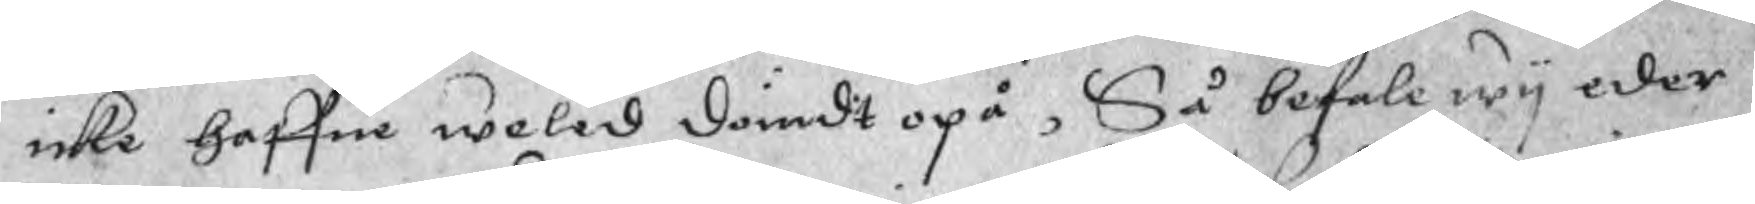icke haffue weled dömdt opå, Så befale wy eder
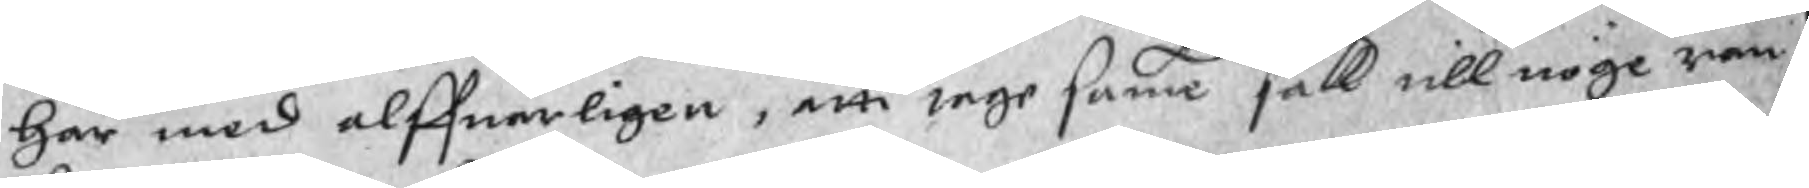här med alffuarligen, atti tage samma sak till nöge ran¬
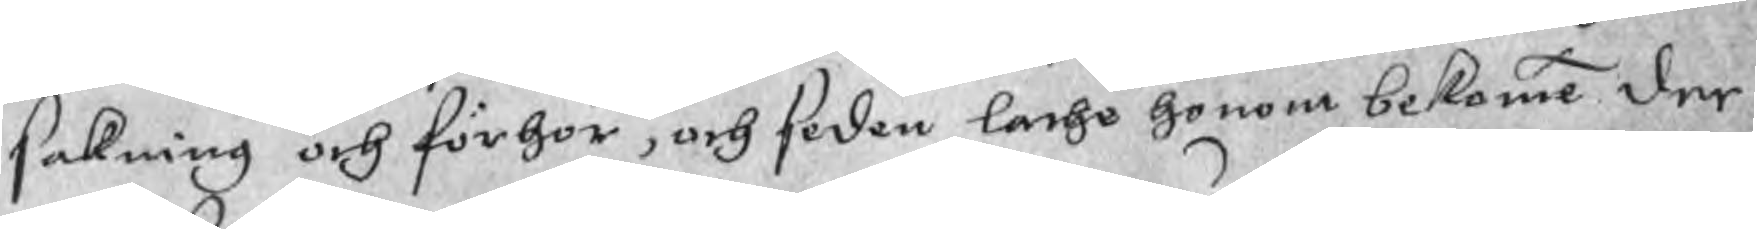sakning och förhör, och seden latho honom bekomme der
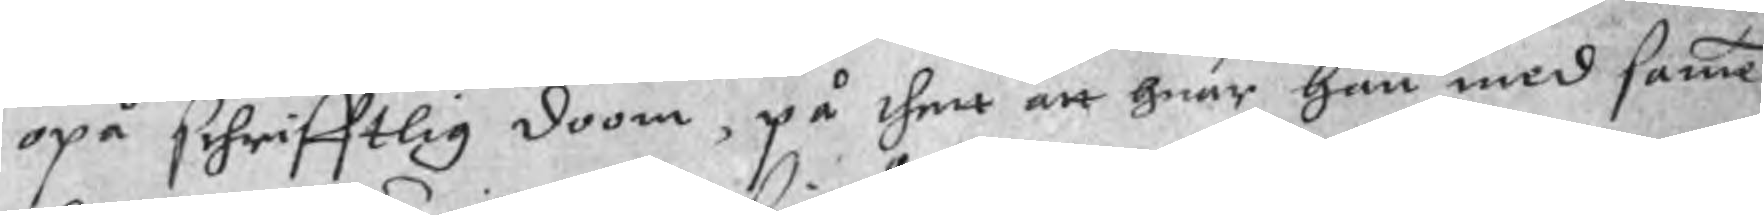opå schrifftlig doom, på thet att huar han med samme
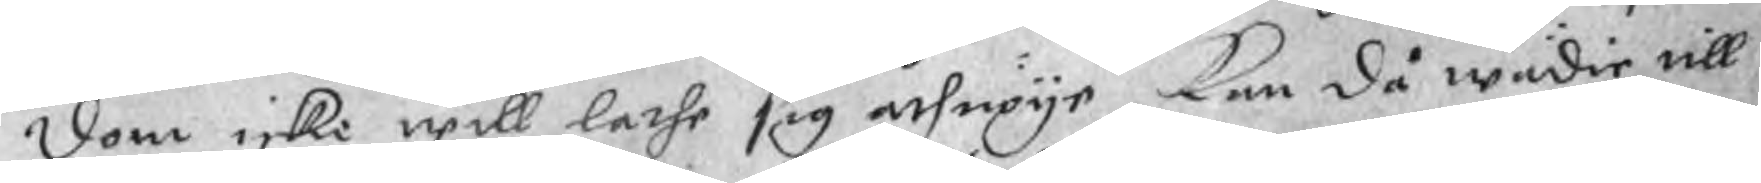dom icke will lathe sig åthnöye, kan då wädie till
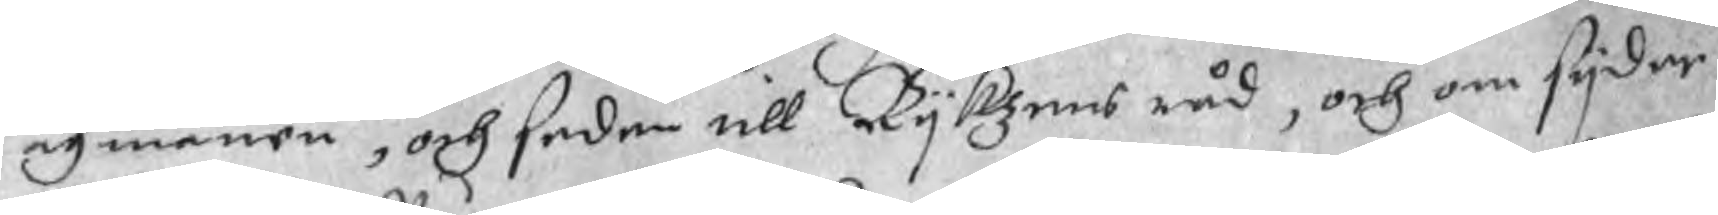Lagmannen, och sedan till Rykzens råd, och om syder
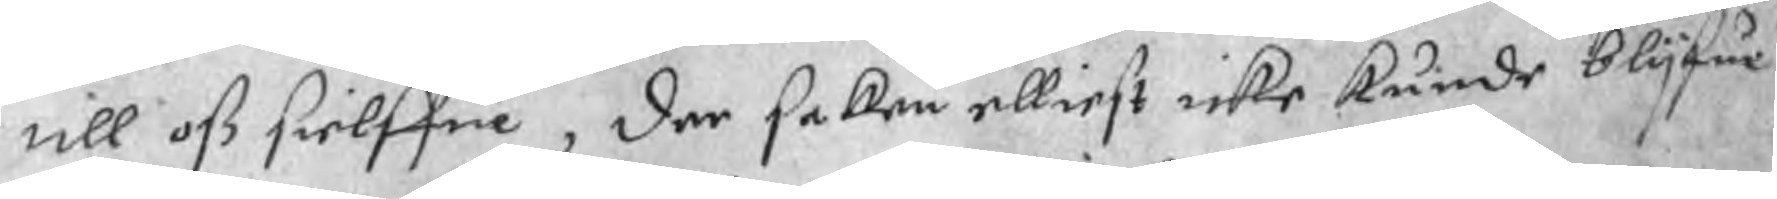till oß sielffue, der saken elliest icke kunde blyfue
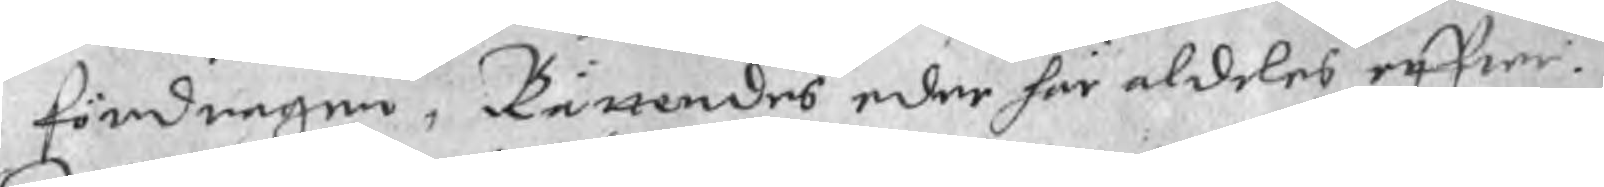fördragen, Rättendes eder här aldeles effter.
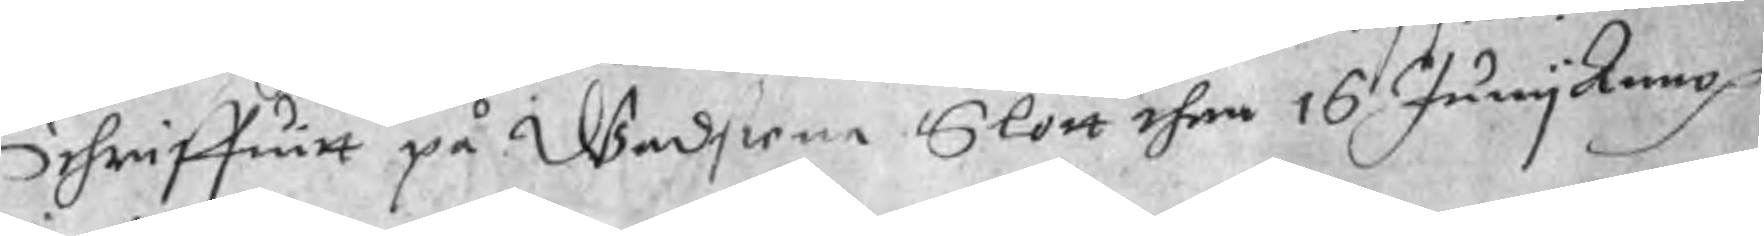Schriffuitt på Wadstene Slott then 16 Juny Anno p
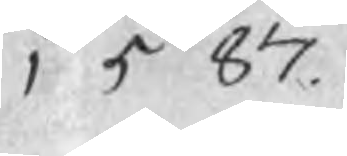1587.
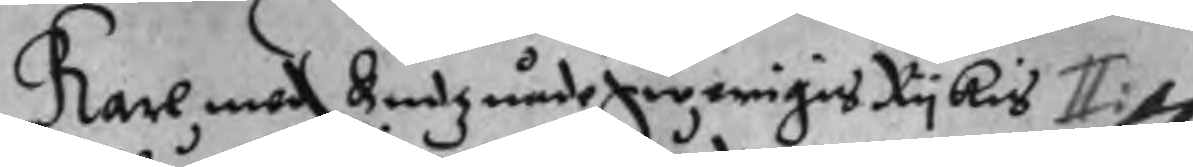Karl med Gudz nåde Swerigis Rykis II:
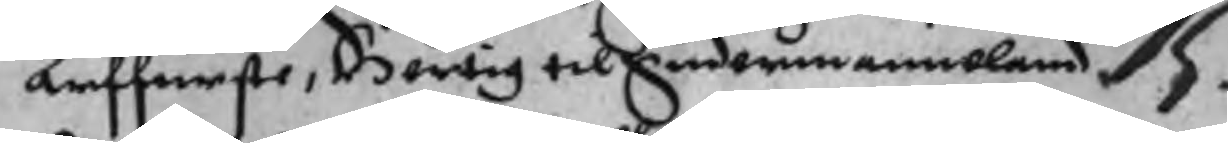arffurste, Hertig til Sudermanneland 75.
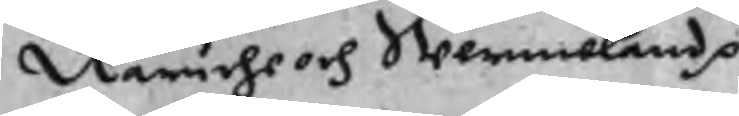Näriche och Wermeland p
